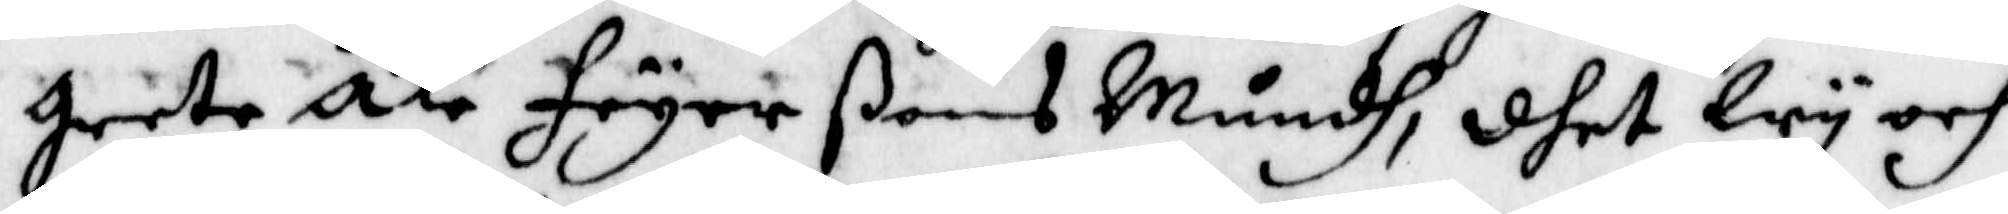greta Åke Feyer ßons Mundh, dhet Wy och
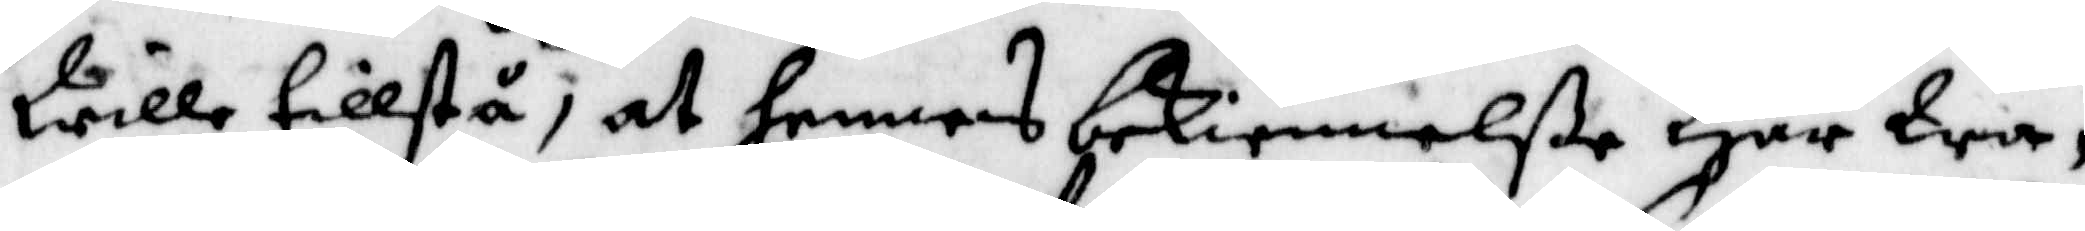Wille tillstå, at hennes bekiennelße Har Wa¬
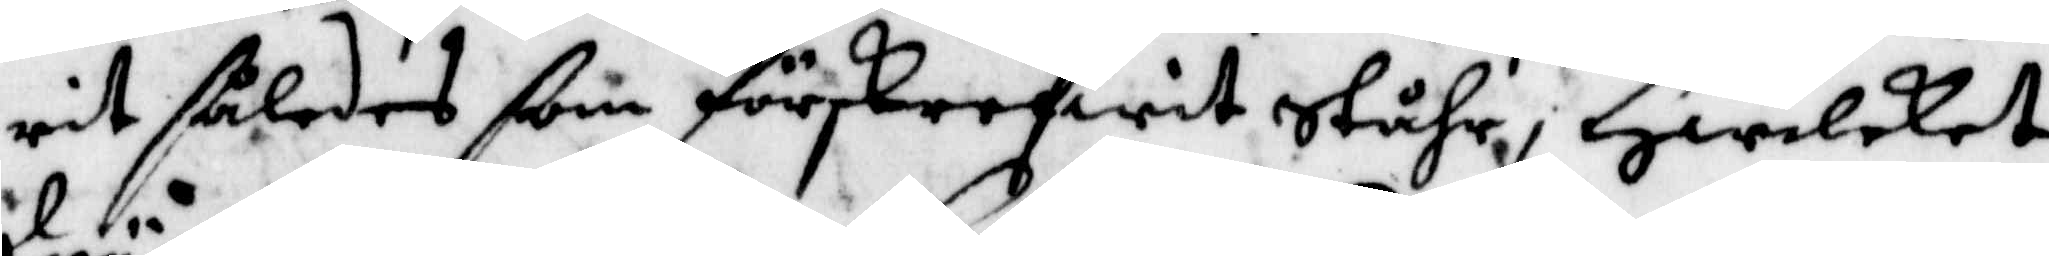rit således som förskrefwit Ståhr, Hwilket
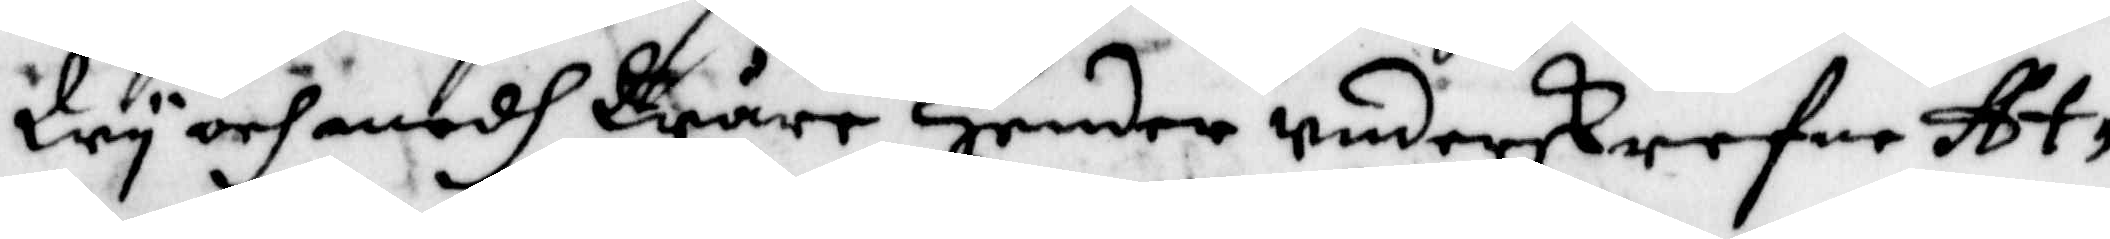Wy och medh Wåre Hender underskrefne At¬
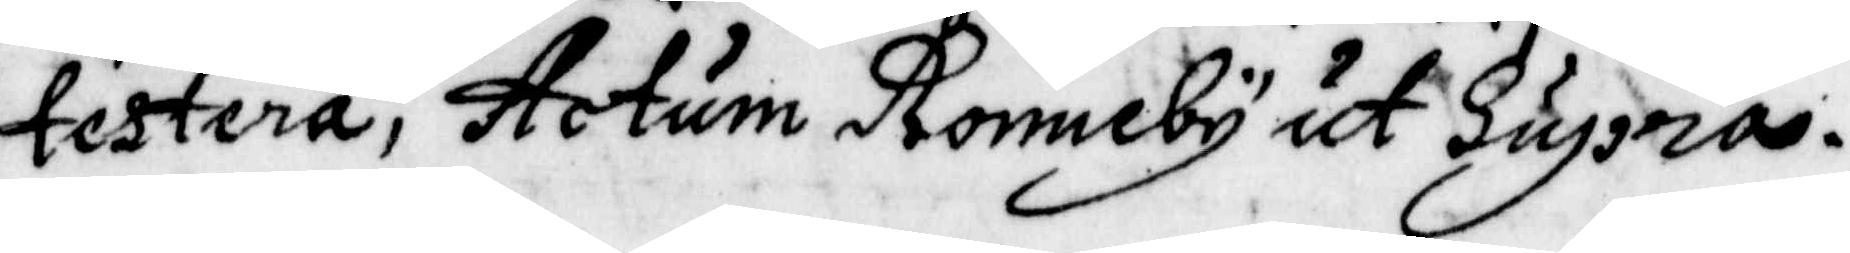testera; Actum Ronneby ut Supra.
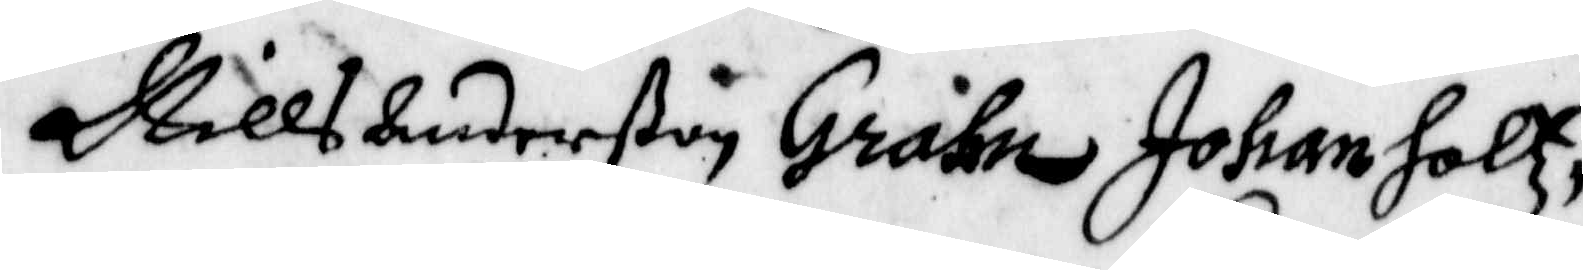Nills Anderßon Grahn Johan Holtz,
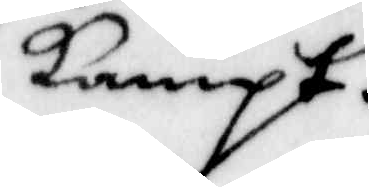Lampt,
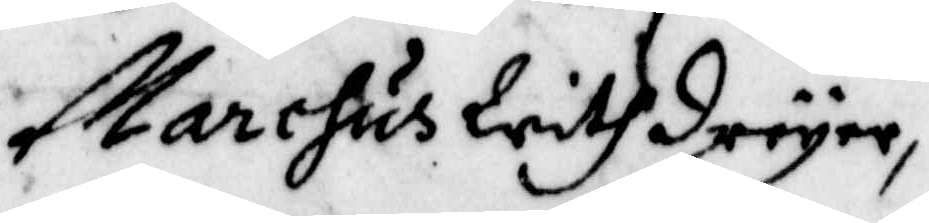Marcus WithDreyer,
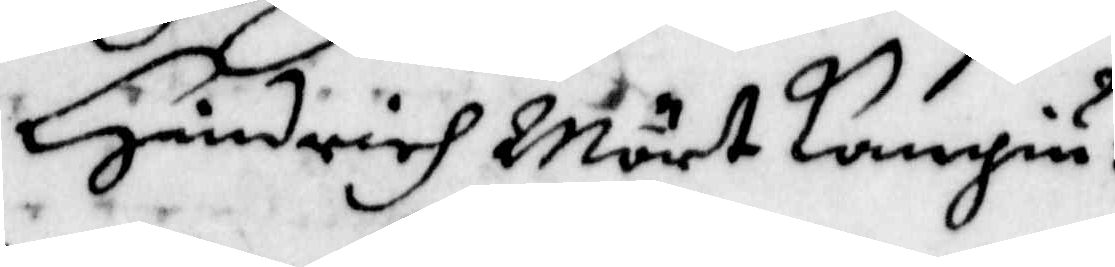Hindrich Mört Langiu:
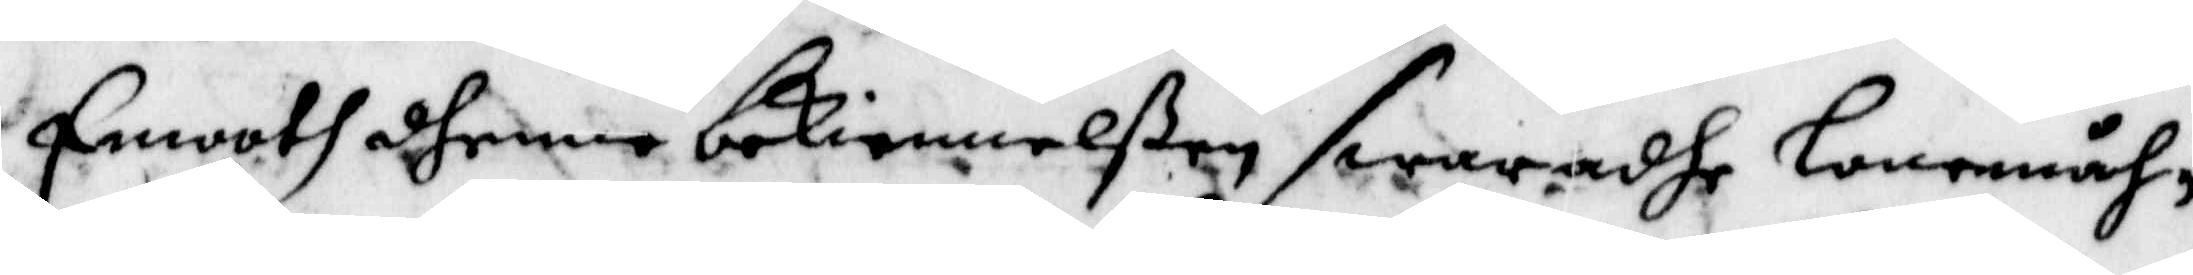Emoth dhenne bekiennelßen swaradhe Lone,åh¬
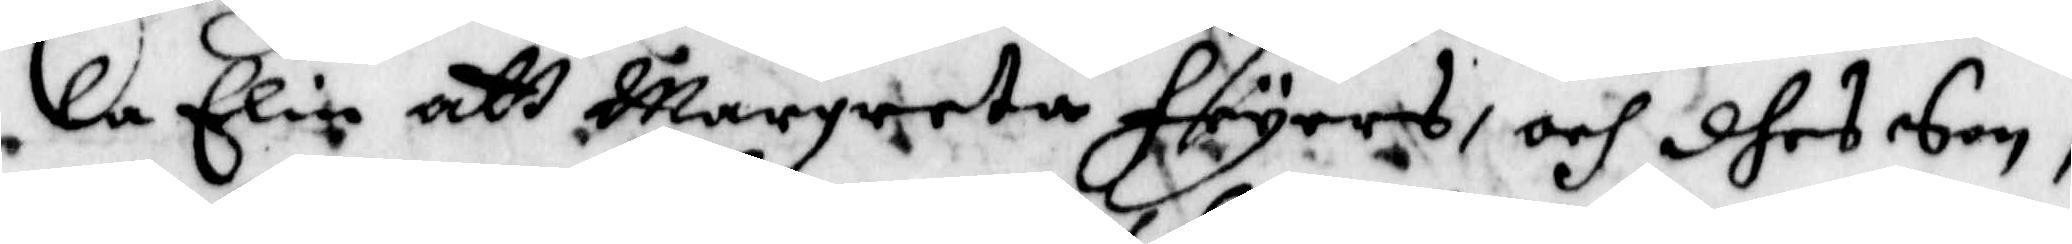la Elin att Margreta Fryers, och dhes Son,
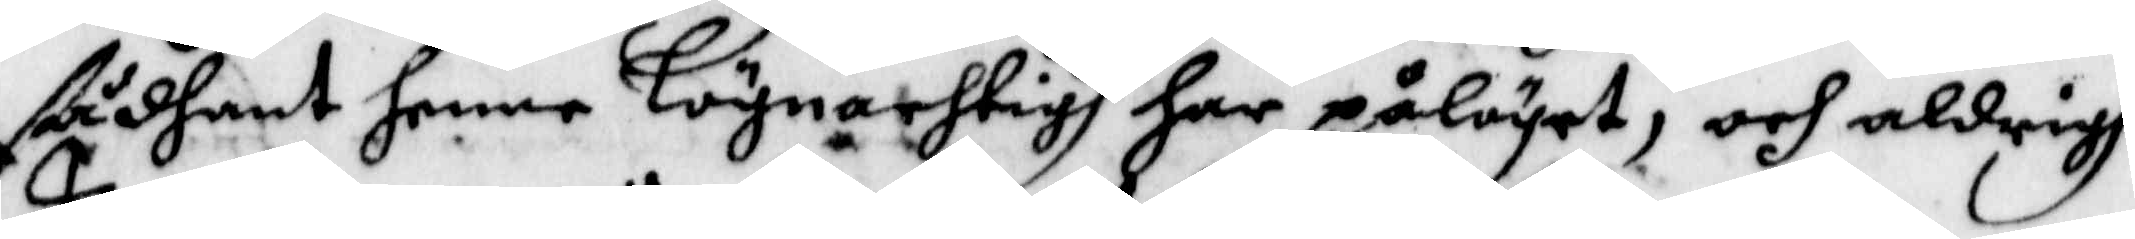sådhant henne Lögnachtigh har pålögat, och aldrigh
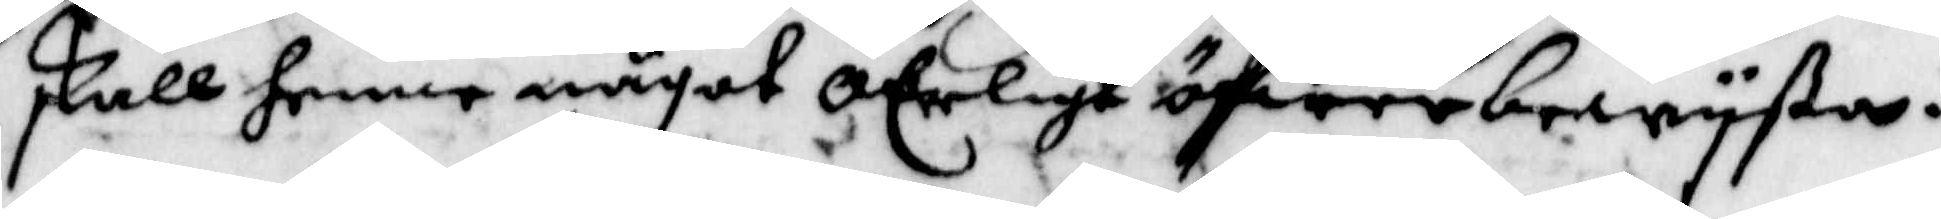skall henne något oErligt öfwerbewyßa.
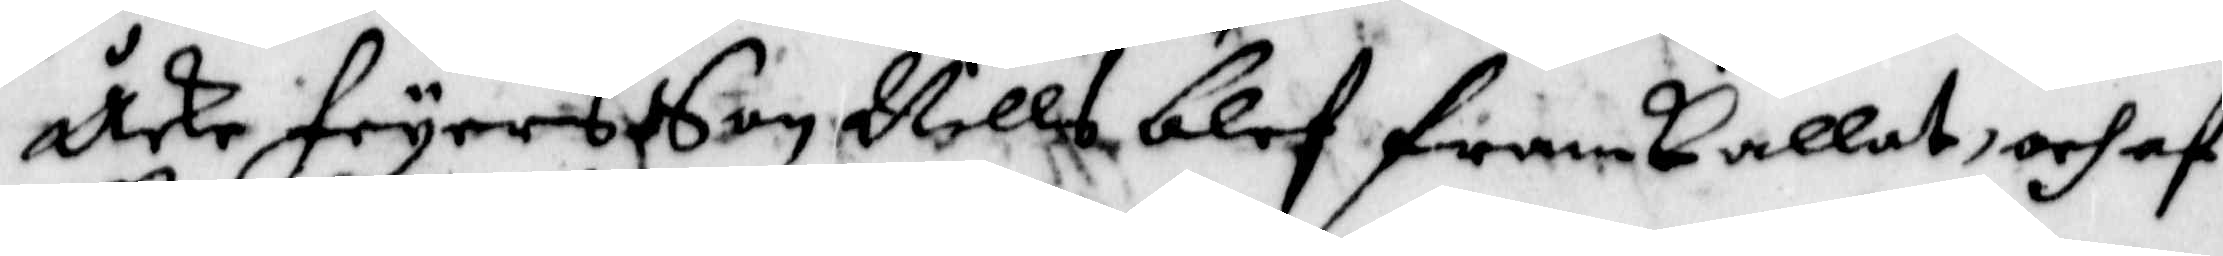Åke Fryers Son Nills blif framkallat, och af
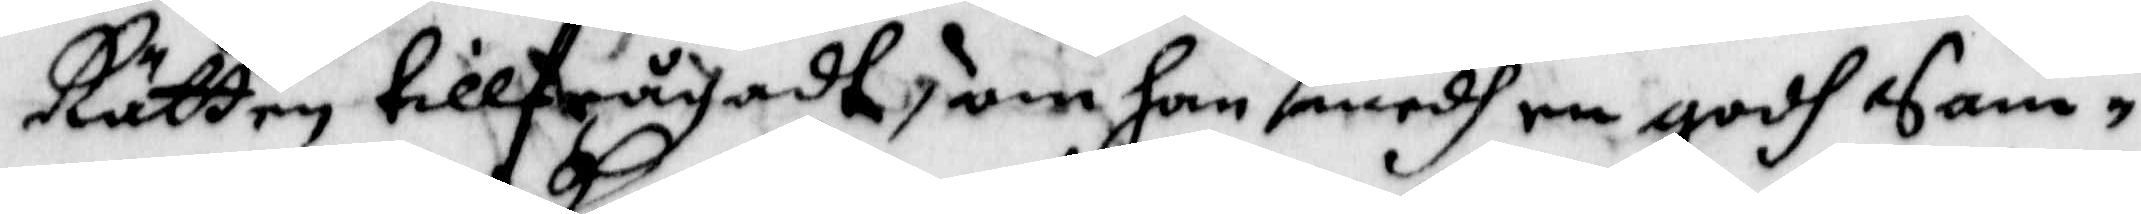Rätten tillfrpgadt, om han medh en godh Sam¬
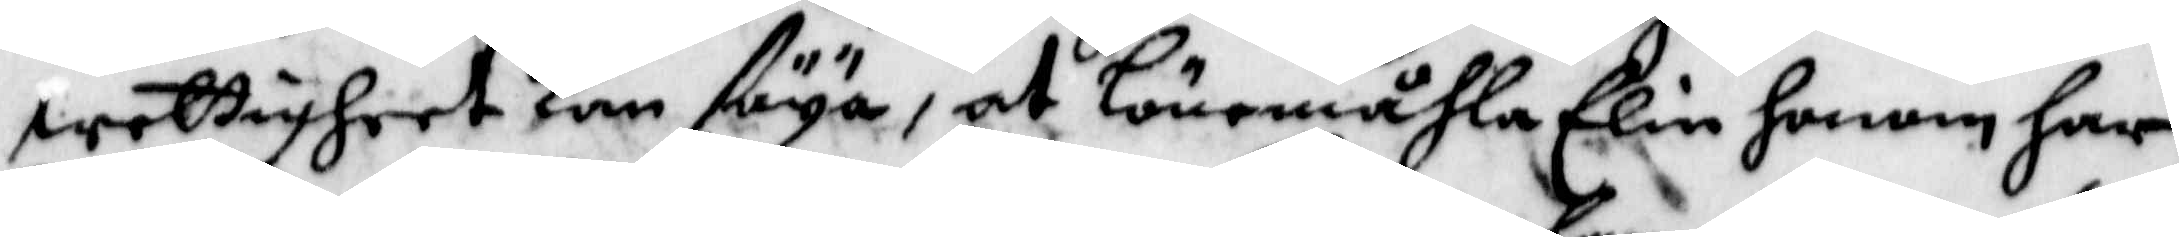wettigheet kan säya, at Lönemåhla Elin honom har
